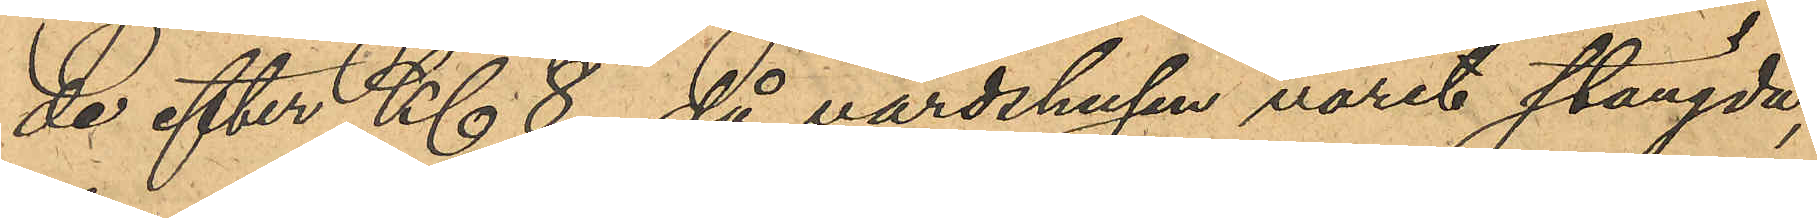de efter Kl 8, då värdshusen varit stängda,
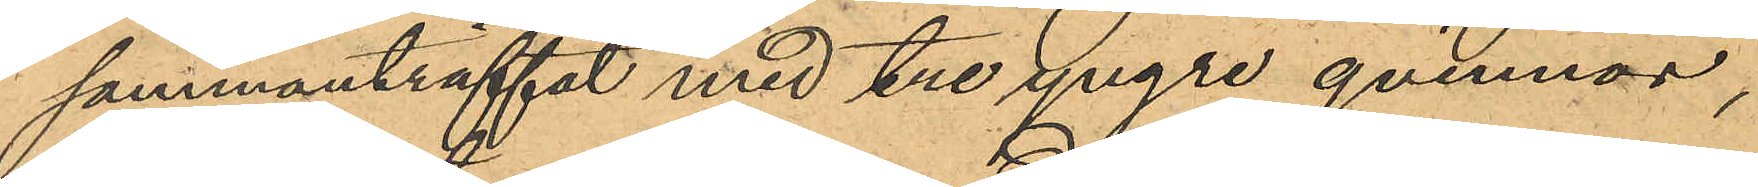sammanträffat med tre yngre qvinnor,
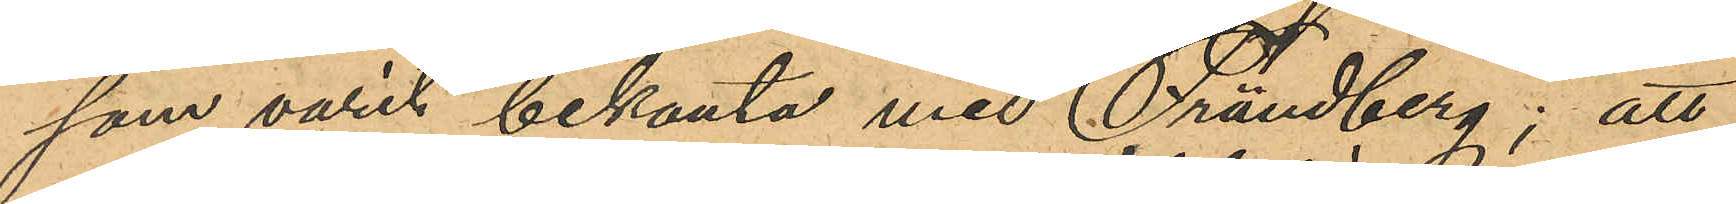som varit bekanta med Frändberg; att
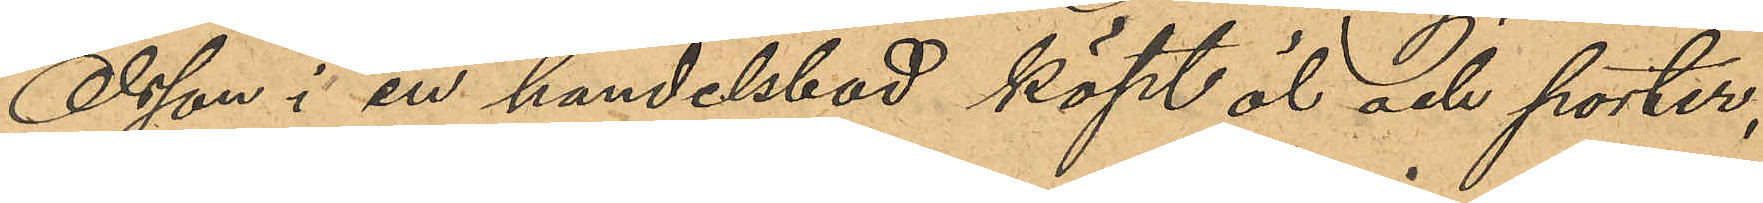Olsson i en handelsbod köpt öl och porter,
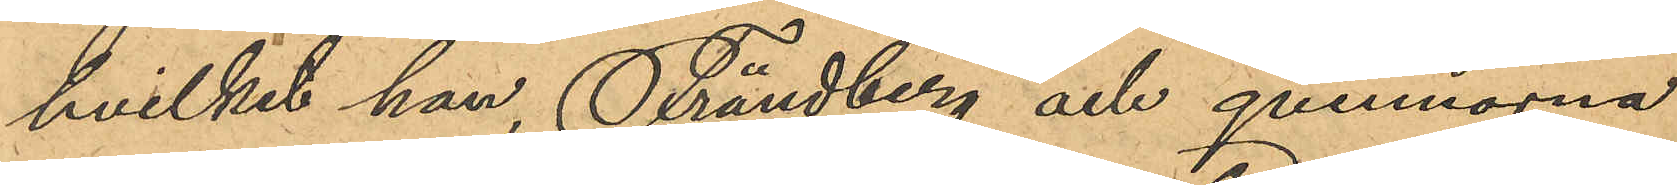hvilket han, Frändberg och qvinnorna
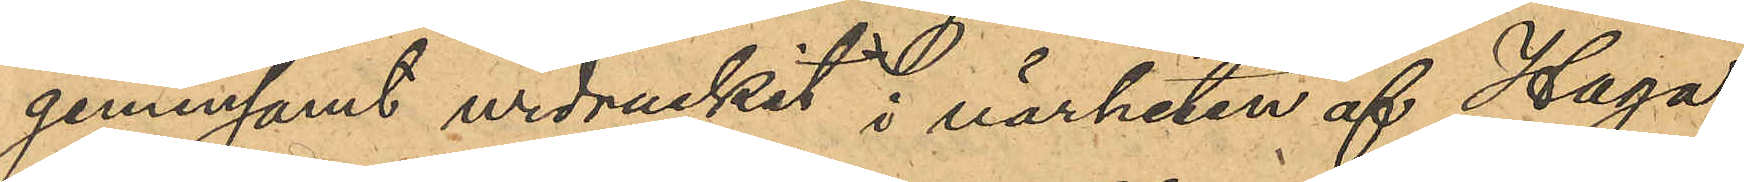gemensamt urdruckit i närheten af Haga
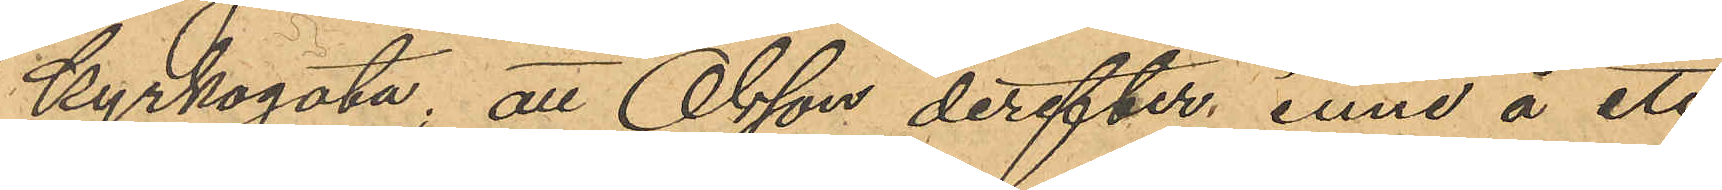kyrkogata; att Olsson derefter inne å ett
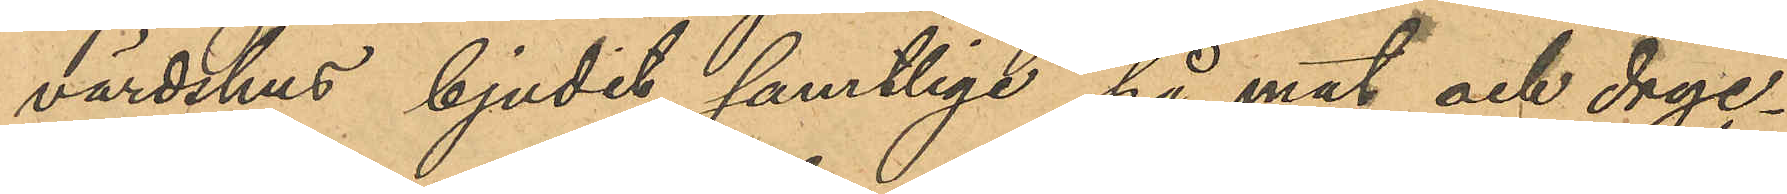värdshus, bjudit samtlige på mat och dryc¬
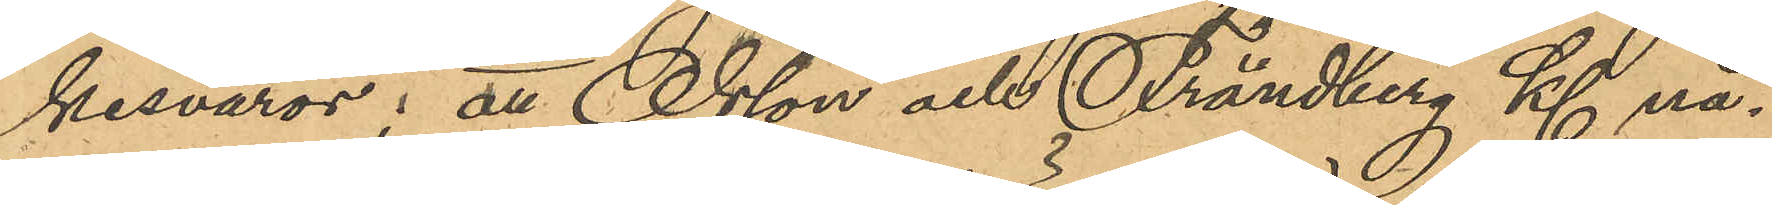kesvaror; att Olsson och Frändberg Kl nå¬
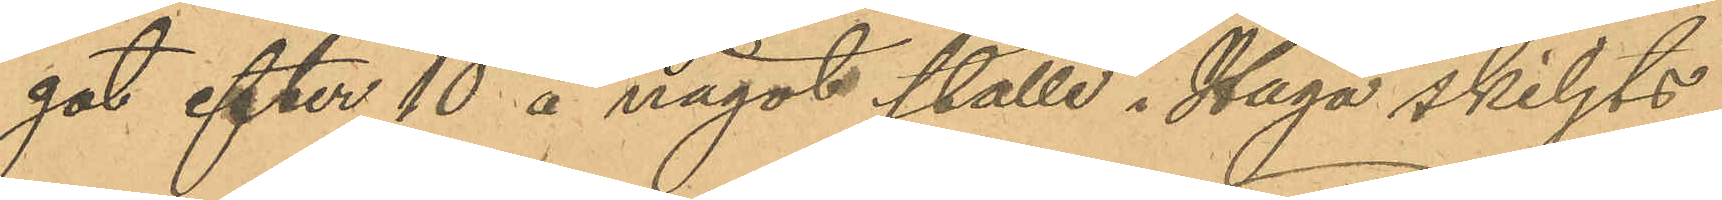got efter 10 å något ställe i Haga skiljts
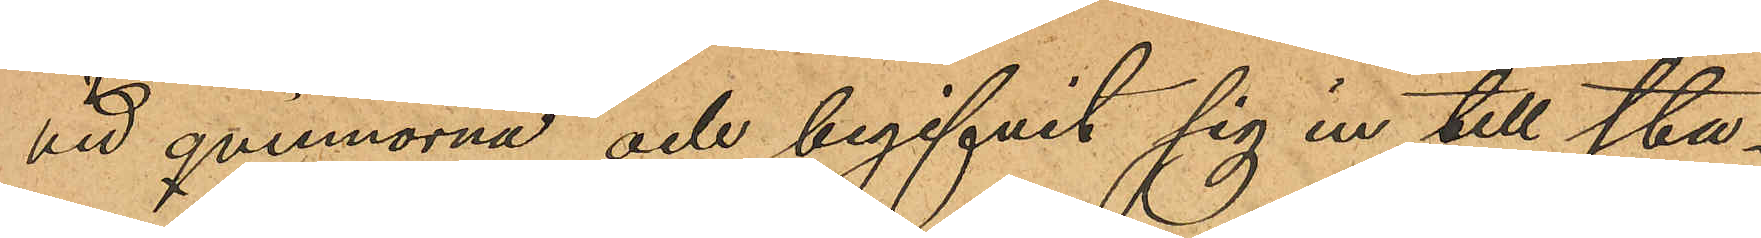vid qvinnorna och begifvit sig in till sta¬
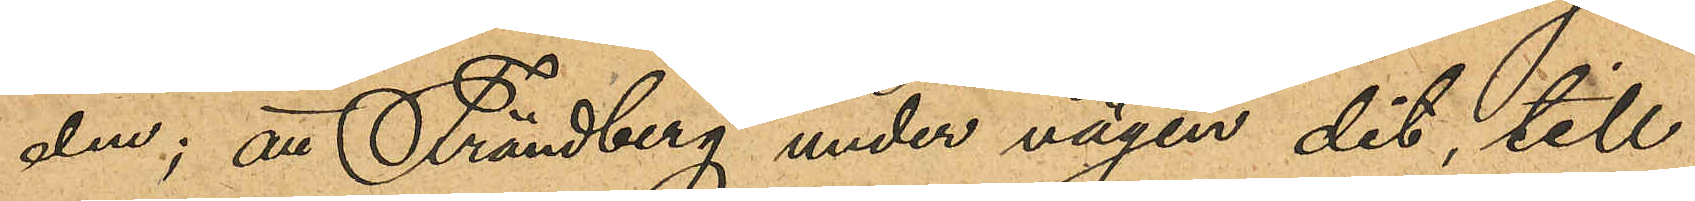den; att Frändberg under vägen dit, till
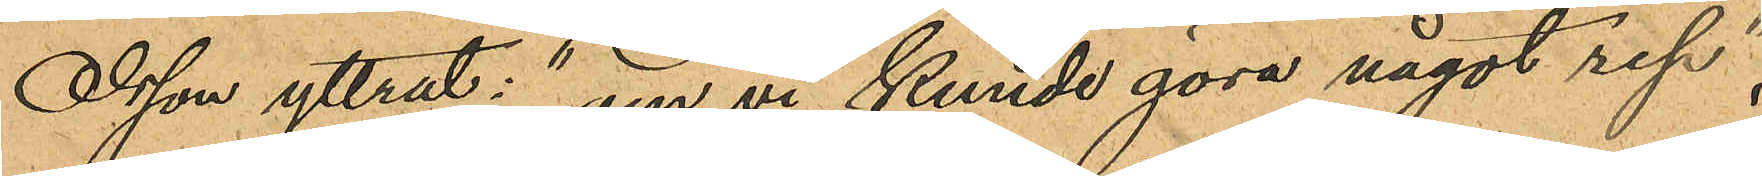Olsson yttrat: "om vi kunde göra något rep",
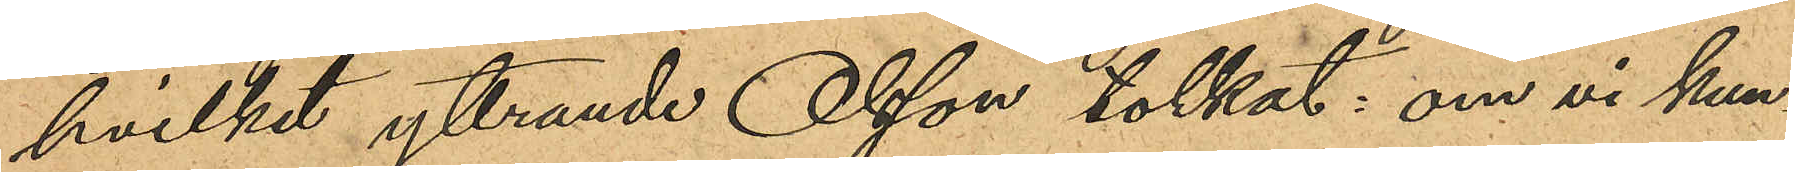hvilket yttrande Olsson tolkat: om vi kun¬
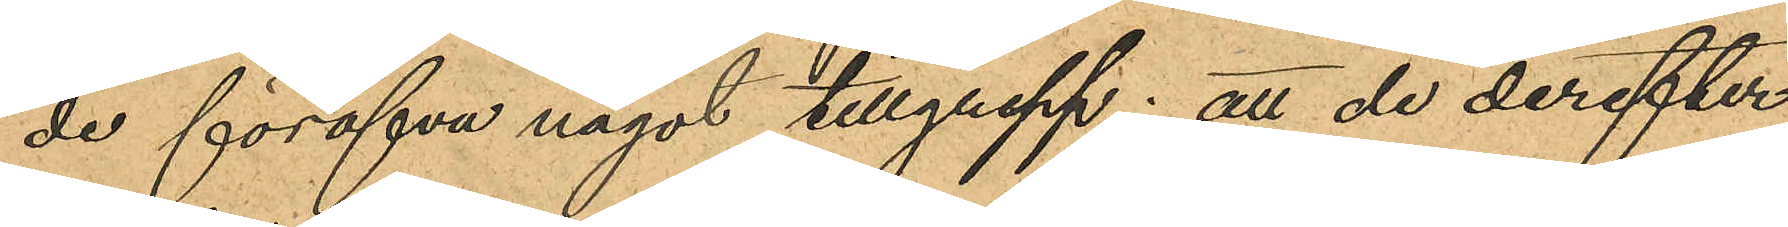de föröfva något tillgrepp; att de derefter
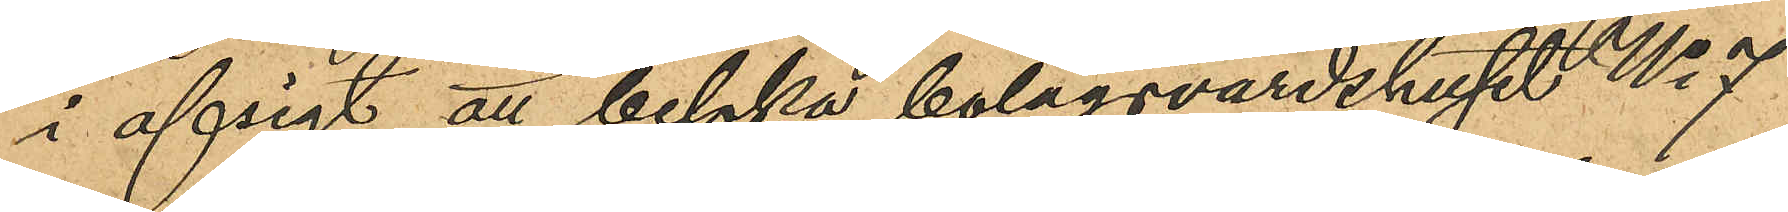i afsigt att besöka bolagsvärdshuset No 7
